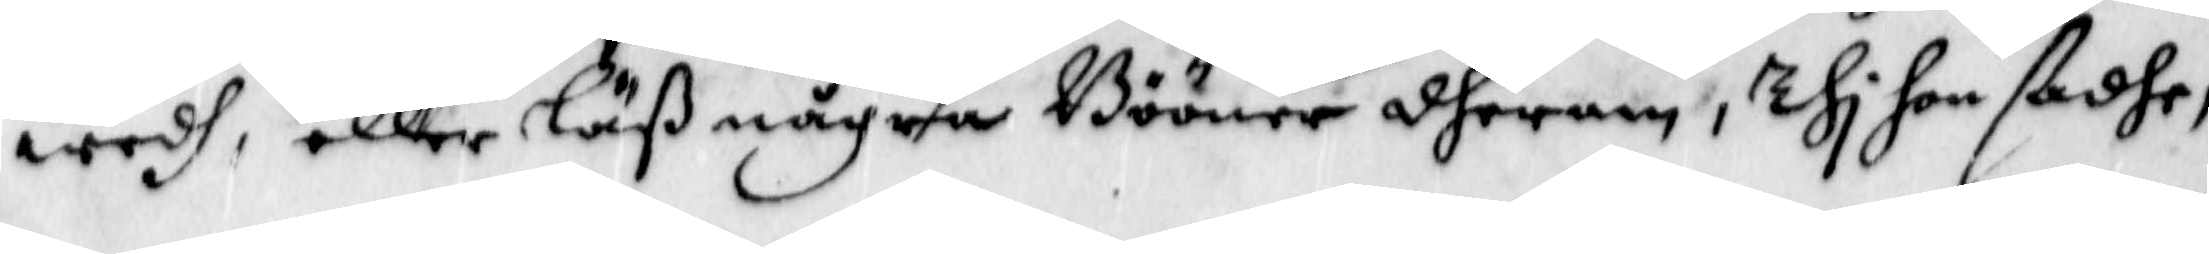wedh, eller läß några Bööner dherom, Thi hon sadhe,
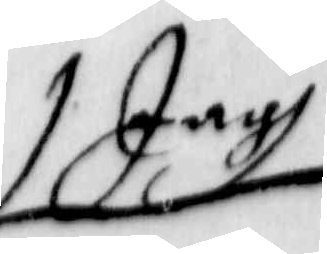Jagh
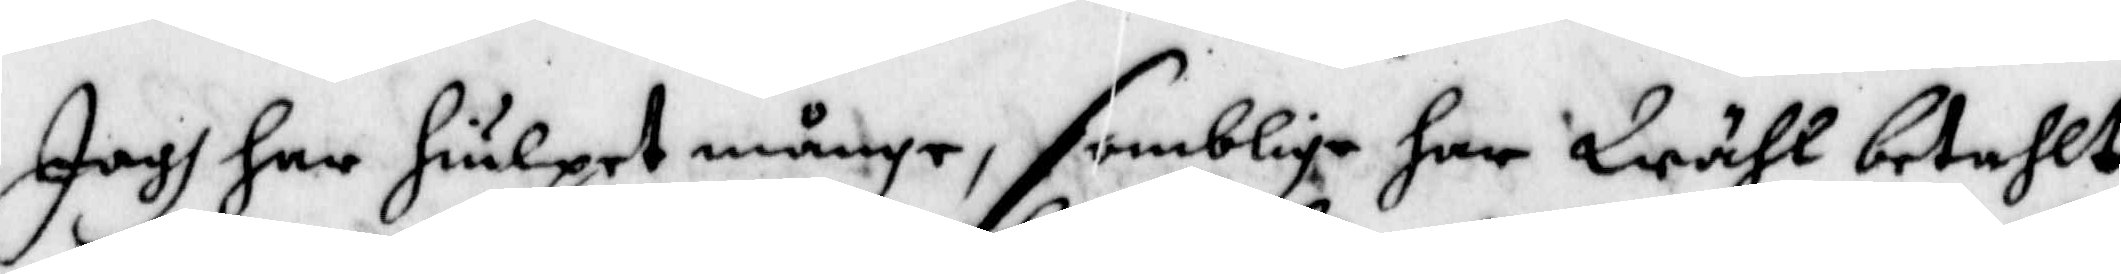Jagh har hiulpet månge, somblige har Wähl betahlt
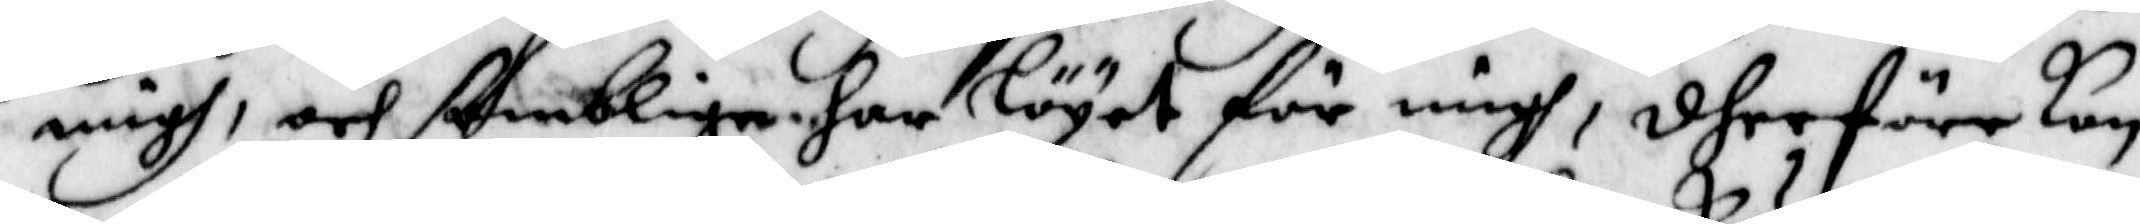migh, och somblige har löyet för migh, dherföre kan
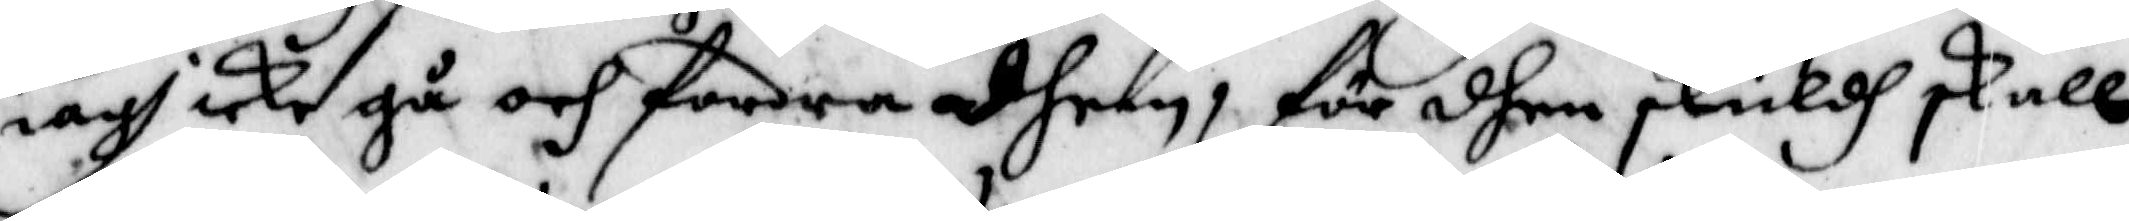iagh icke gå och fordra dhem, för dhen skuldh skall
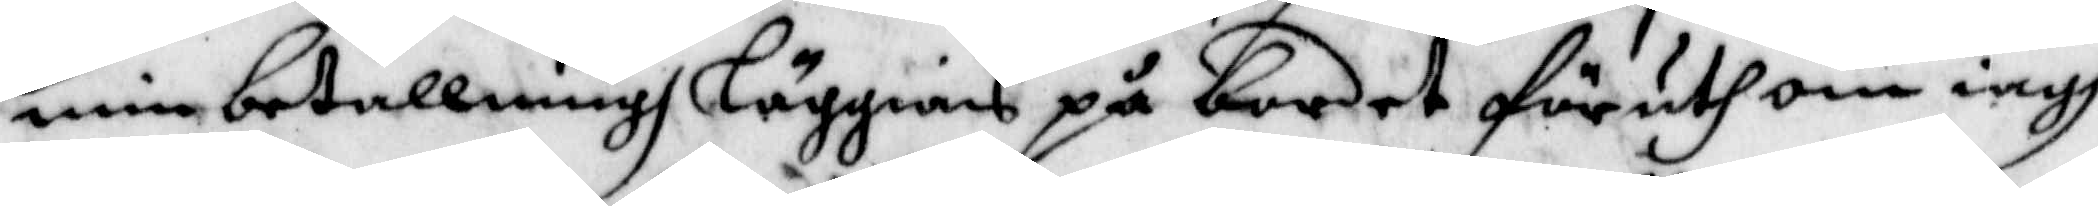min betallningh läggias på bordet föruthom iagh
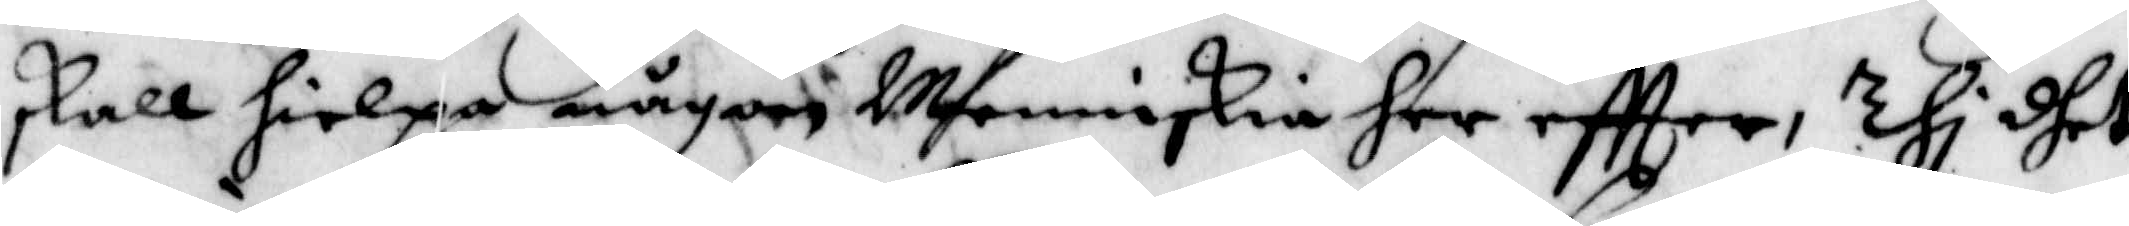skall hielpa någon Menniskia her eftter, Thi dhet
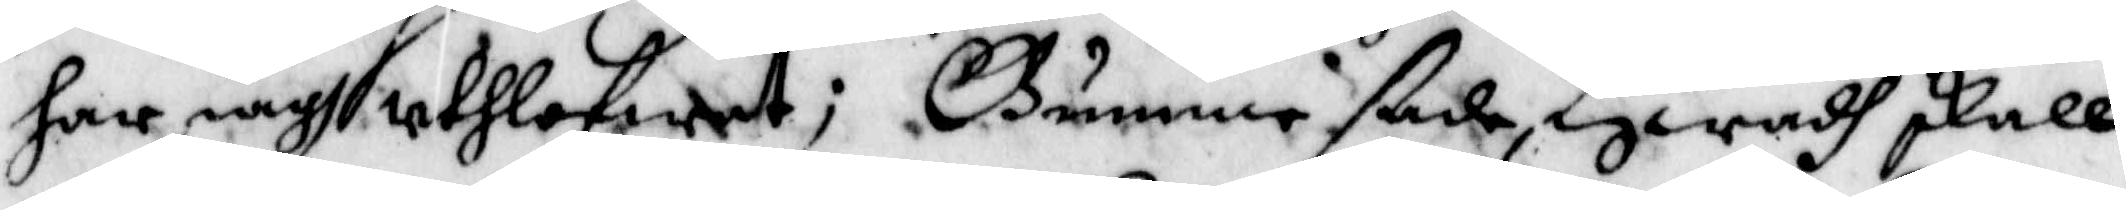har iagh uthlofwet; Gunne ßade, hwadh skall
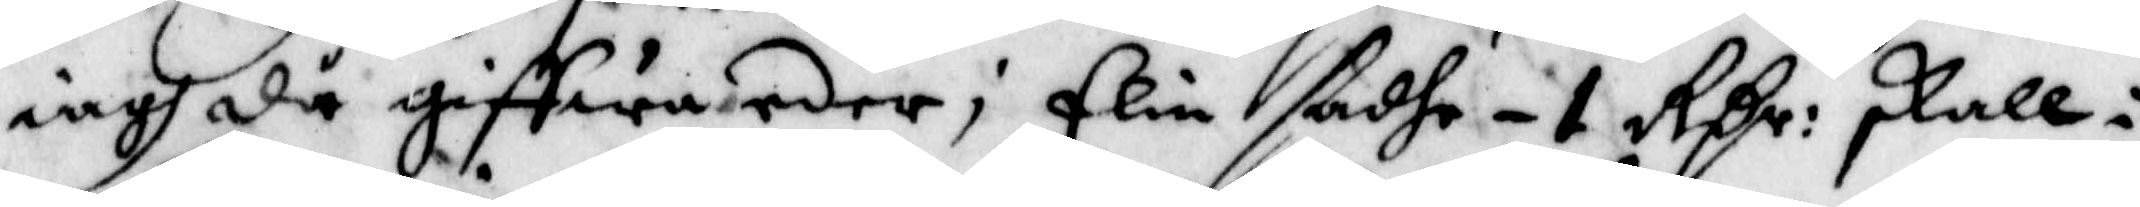iagh då giffwa eder; Elin sadhe -1 Rßr: skall i
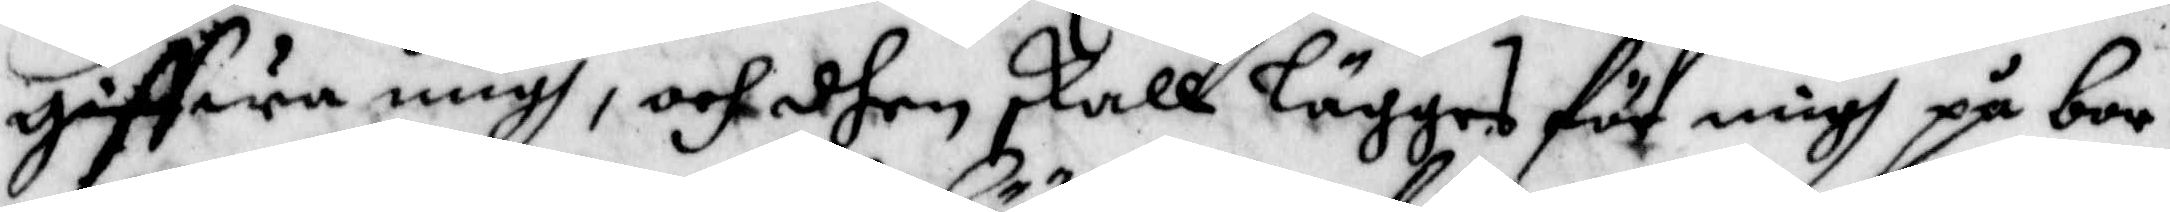giffwa migh, och dhen skall lägges för migh på bor¬
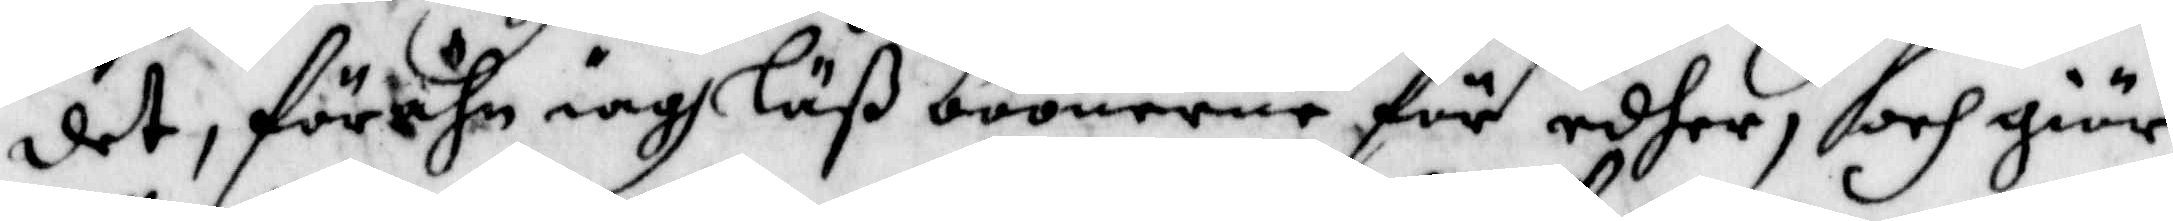det, förän iagh Läß böönerne för edher, och giör
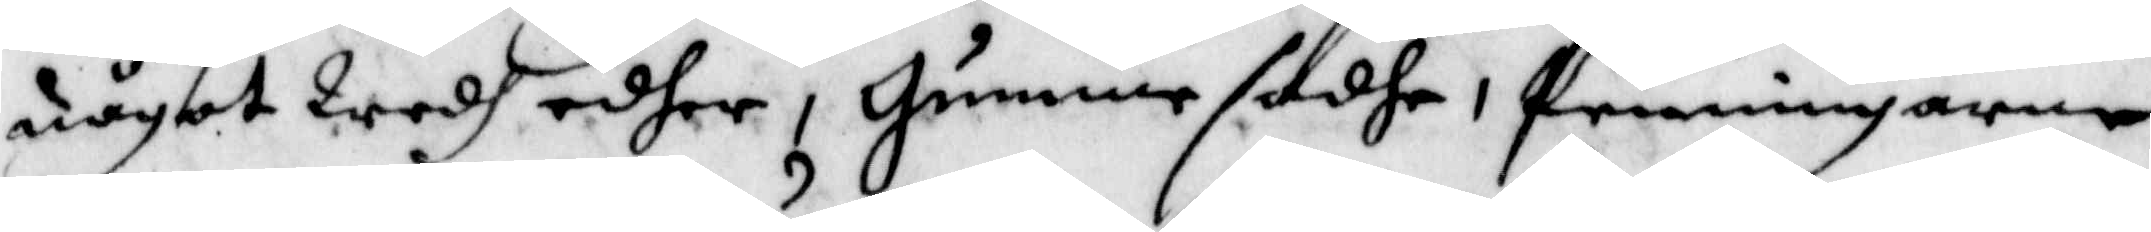något Wedh edher, Gumme sadhe, Penningarne
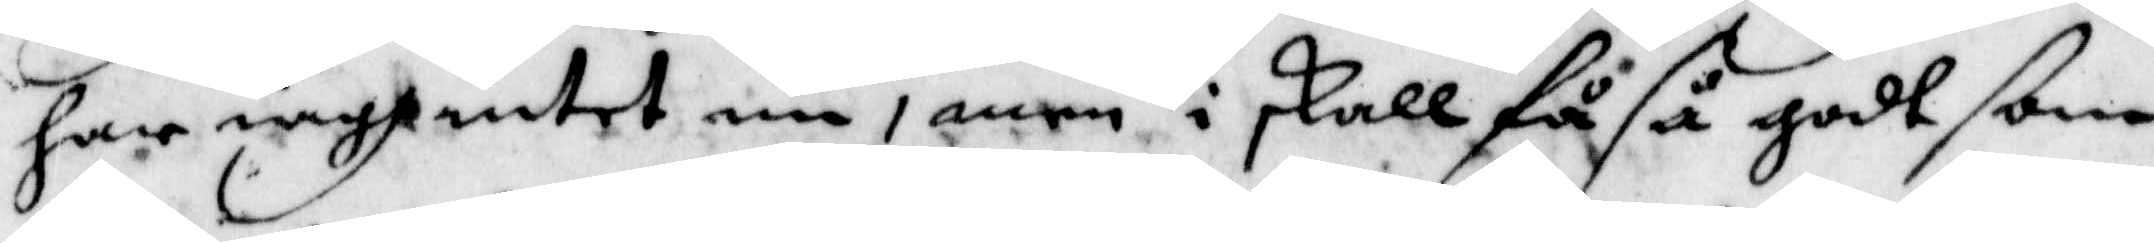har iagh intet nu, men i skall få så godt ßom
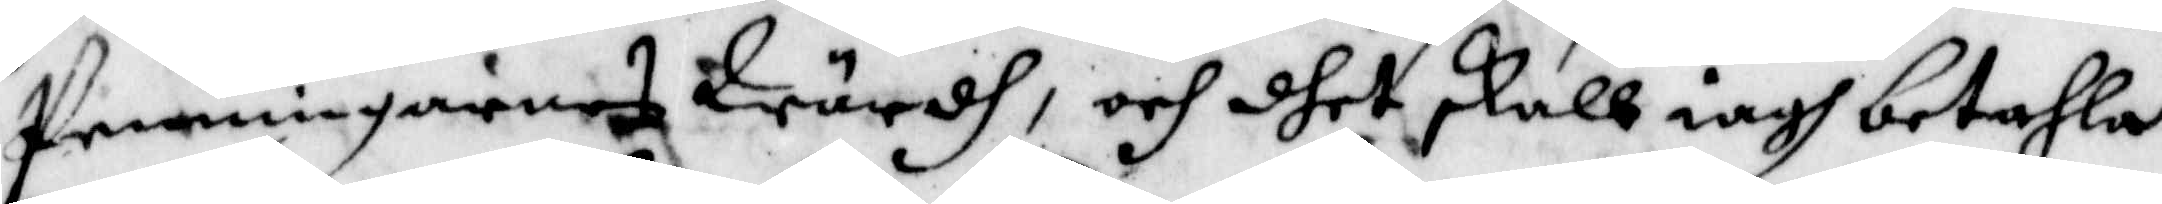Penningarnes Wärdh, och dhet skall iagh betahla
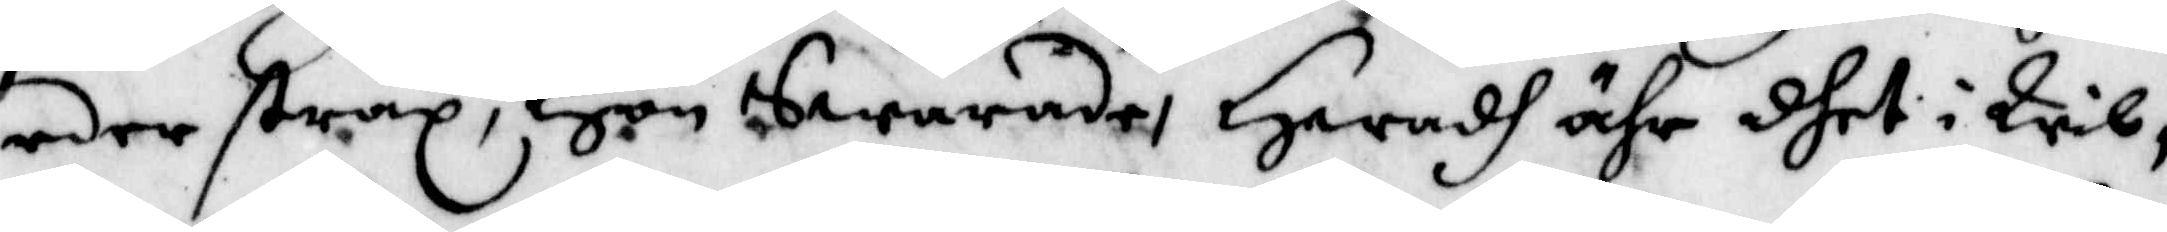eder strax, Hon Swarade, Hwadh ähr dhet i Wil¬
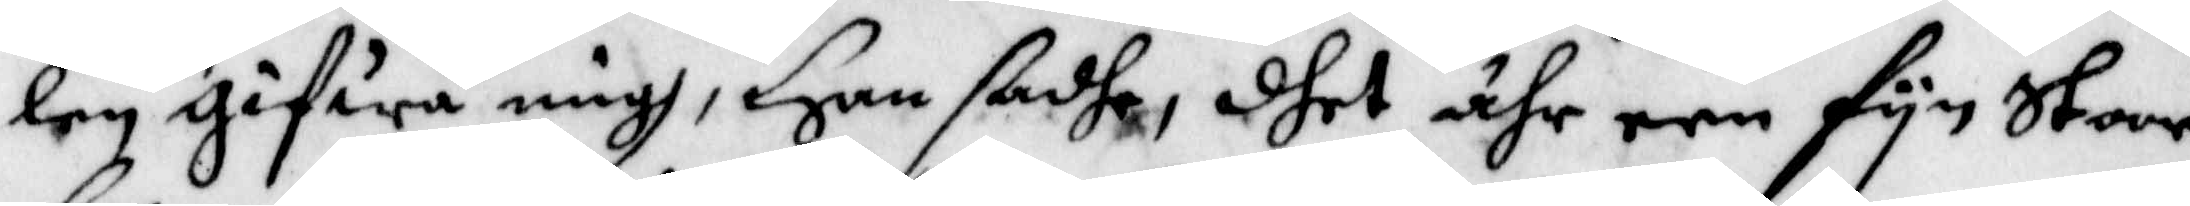len gifwa migh, Han sadhe, dhet ähr een fyn Stoor
